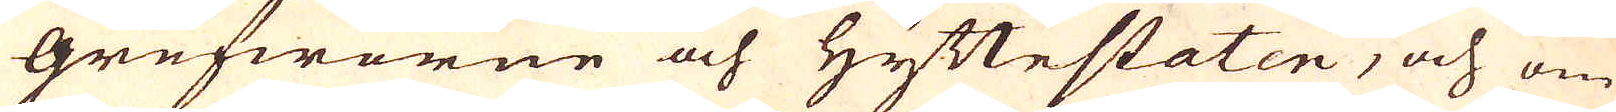grufworne och Hyttestaten, och om
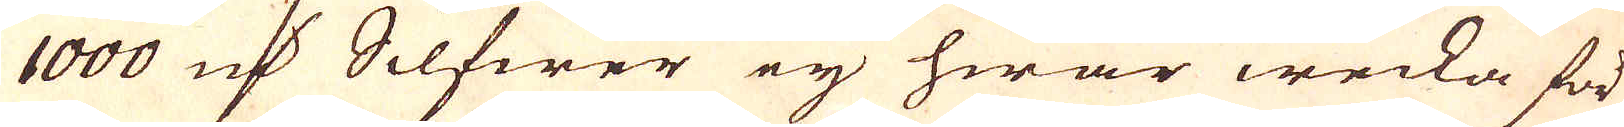1000 marker Silfwer eij hwar wecka för
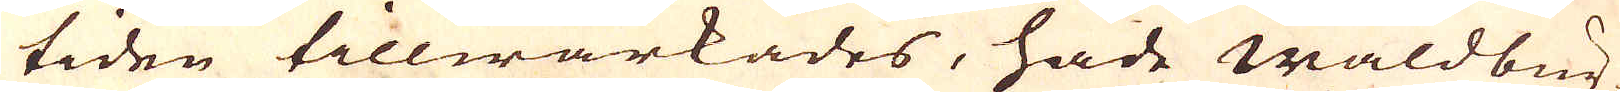tiden tillwärkades, hade waldbur-
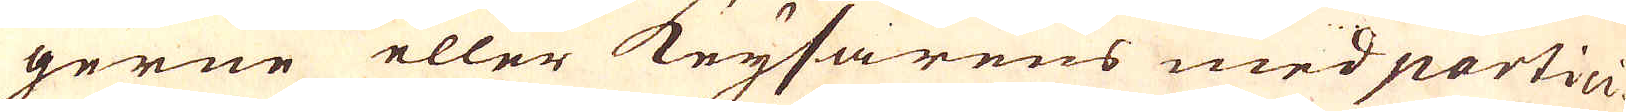gerne eller Keysarens med partici-
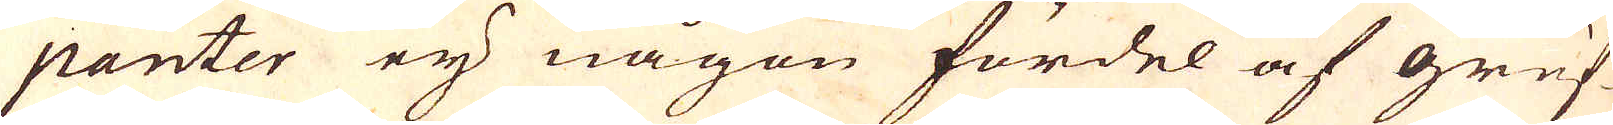panter eij någon fördel af gruf-
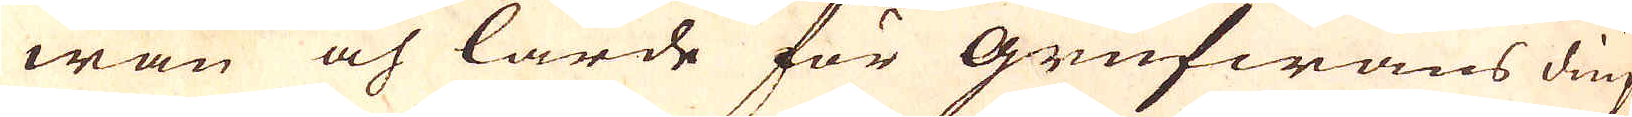wan och lärde för Grufwans diup-
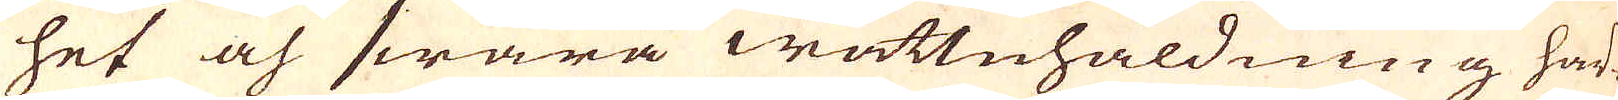het och swåra wattnhåldning här-
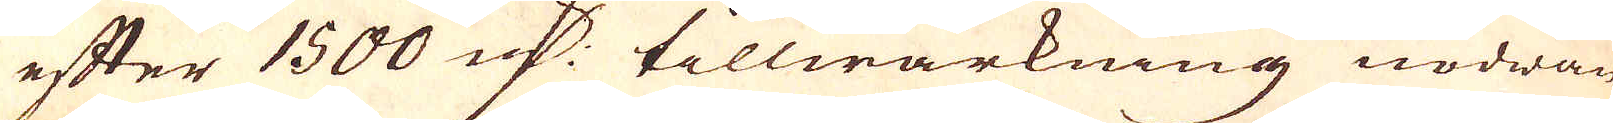efter 1500 marker tillwärkning nödwän-
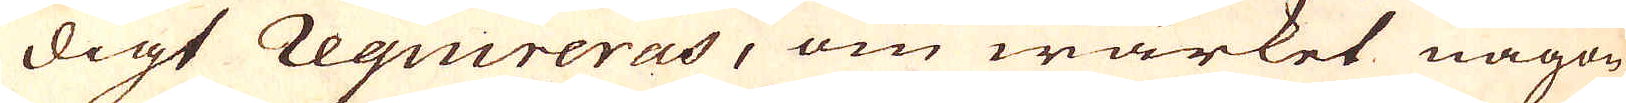digt requireras, om wärket någon
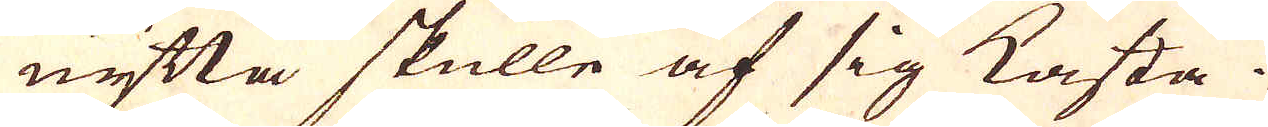nytta skulle af sig kasta.
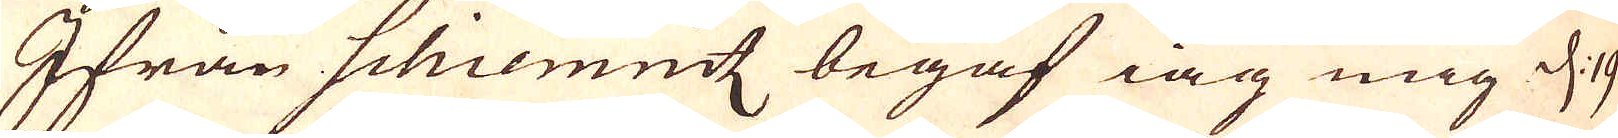Ifrån Schiemnitz begaf iag mig d: 19
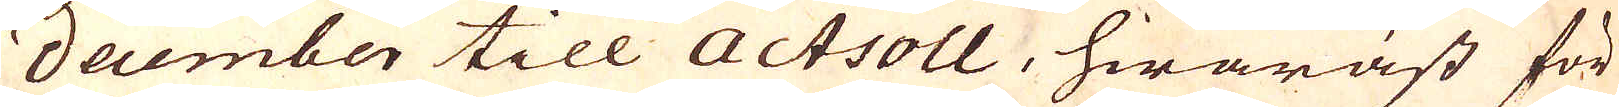december till Actsoll, hwaräst för
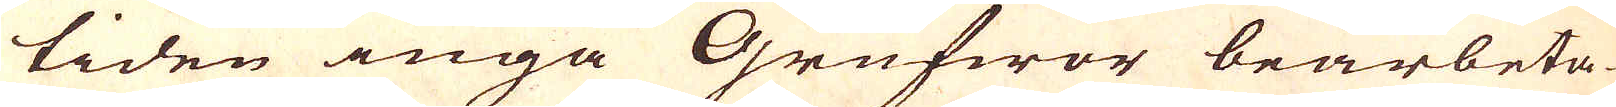tiden inga Grufwor bearbeta-
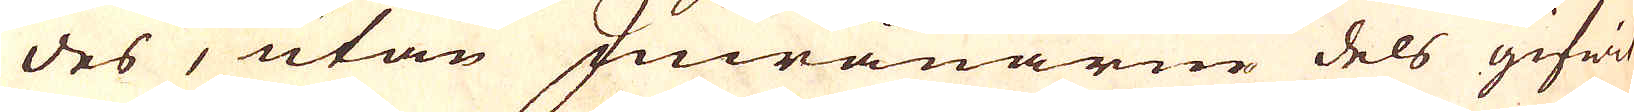des, utan Inwånarne dels gifwit
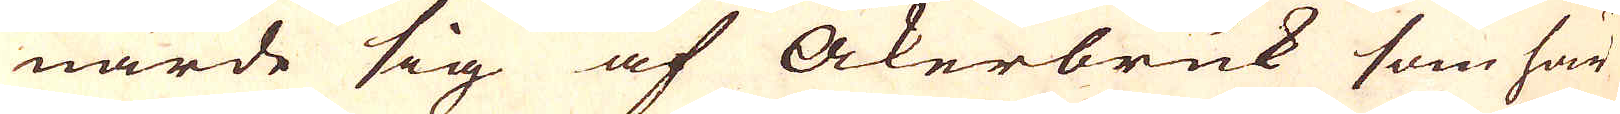närde sig af Akerbruk som här
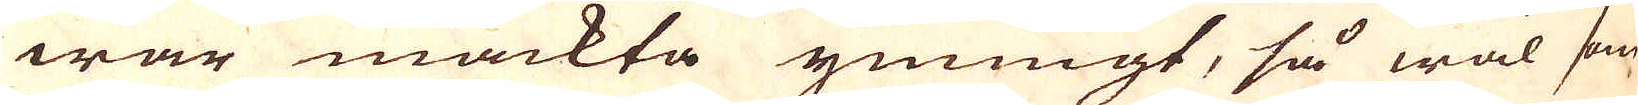war mäckta ymnigt, så wäl som
